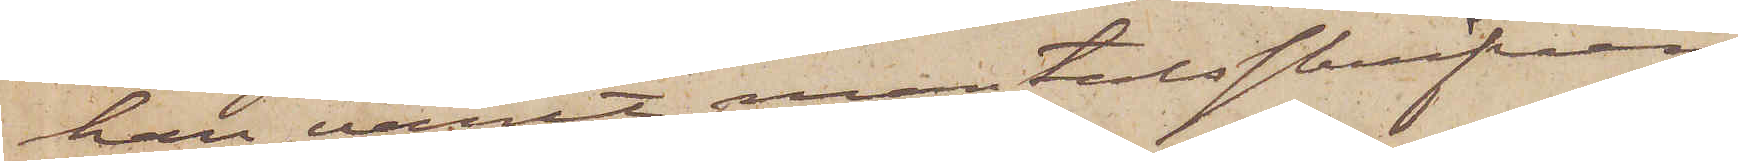han varit mantalsskrifven.
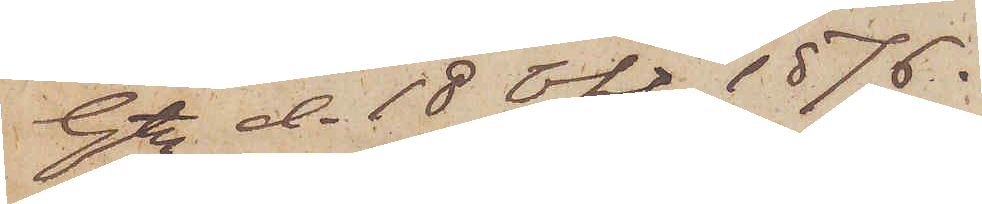Gt. d. 18 Okt 1876.
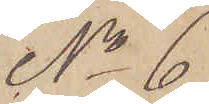No 6.
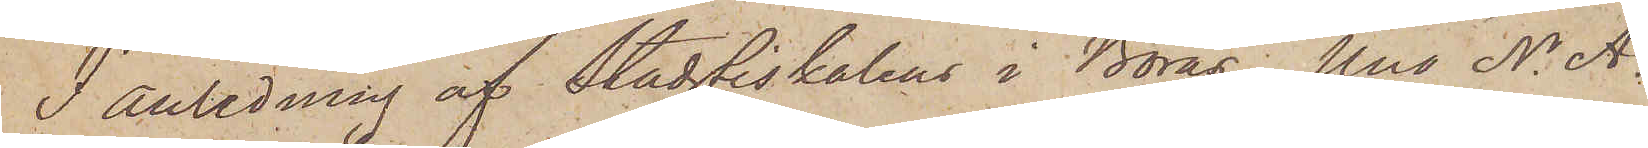I anledning af Stadsfiskalen i Borås, Uno N. A.
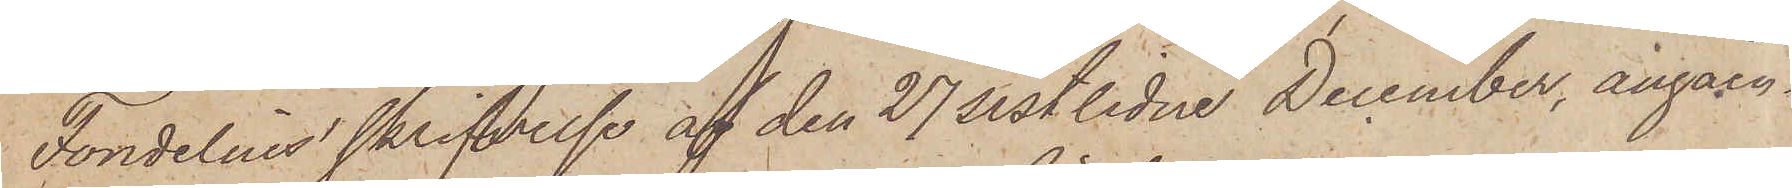Tondelnes skrifvelse af den 27 sistlidne December, angåen¬
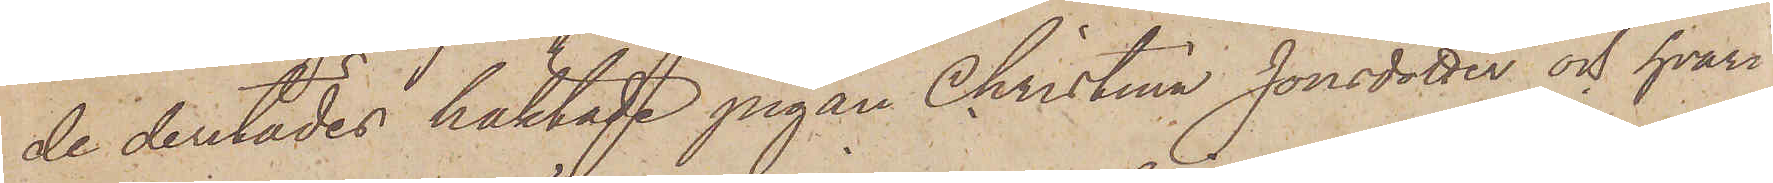de derstädes häktade pigan Christina Jonsdotter och hvari
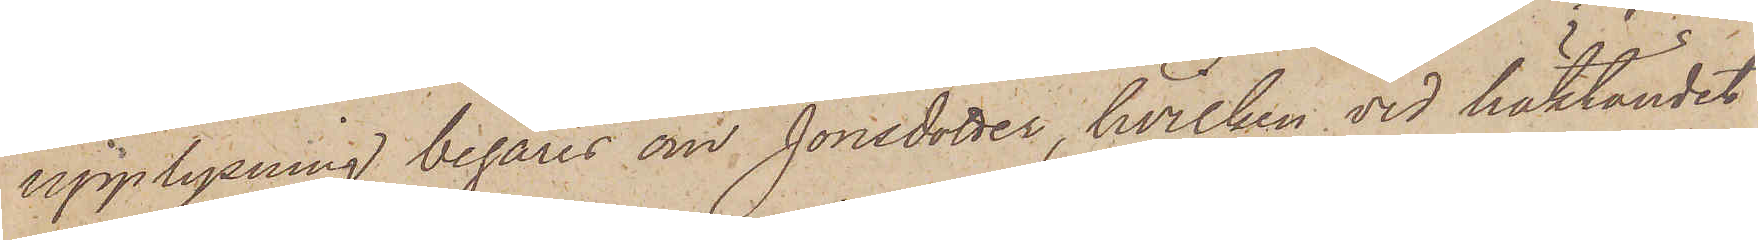upplysning begäres om Jonsdotter, hvilken vid häktandet
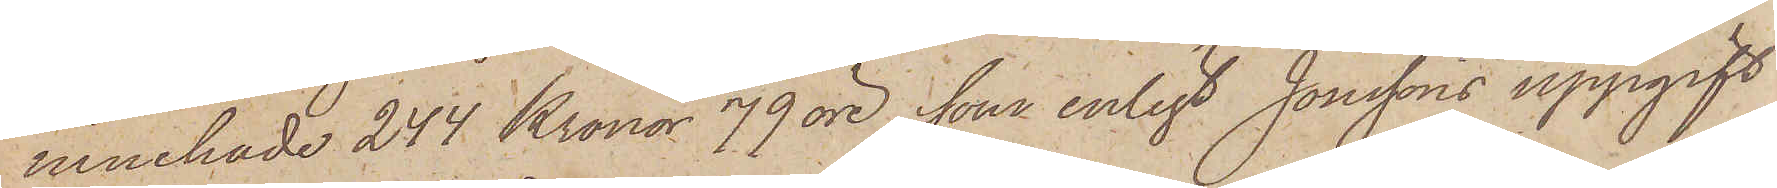innehade 244 Kronor 79 öre, som enligt Jonssons uppgift
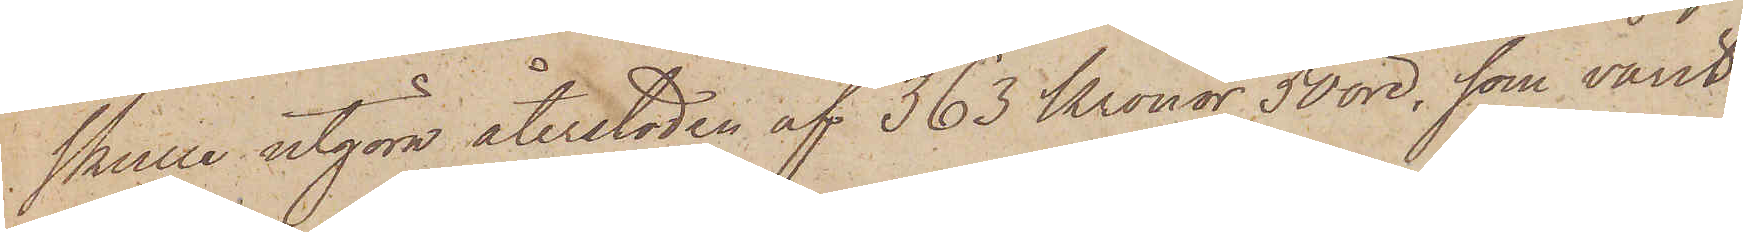skulle utgöra återstoden af 363 Kronor 50 öre, som varit
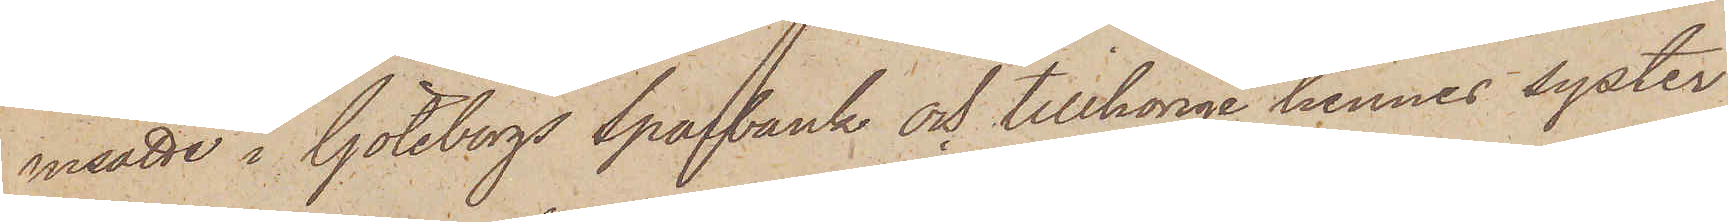insatte i Göteborgs sparbank och tillhörige hennes syster
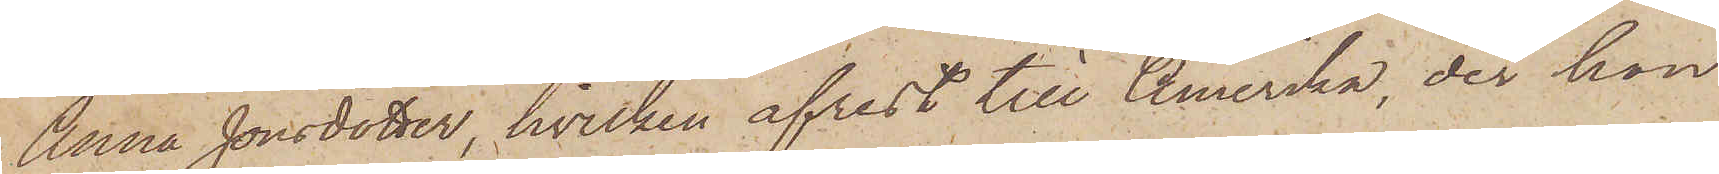Anna Jonsdotter, hvilken afrest till Amerika, der hon
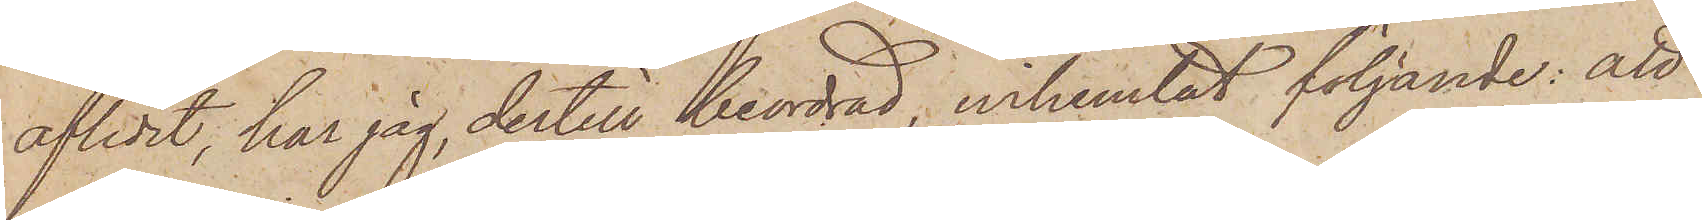aflidit, har jag, dertill beordrad, inhemtat följande: att
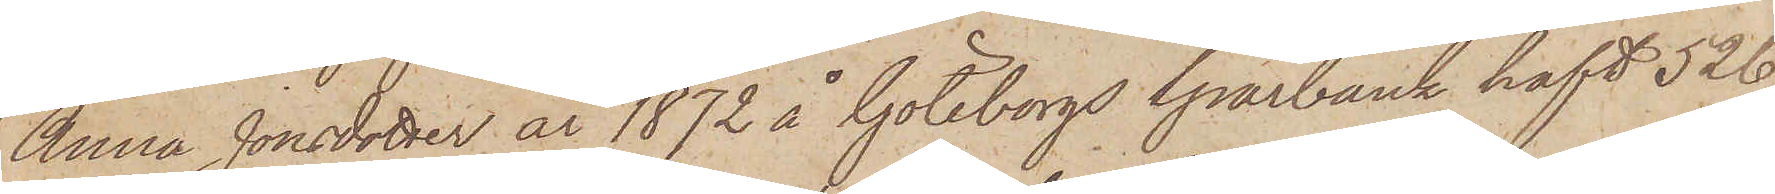Anna Jonsdotter år 1872 å Göteborgs Sparbank haft 526
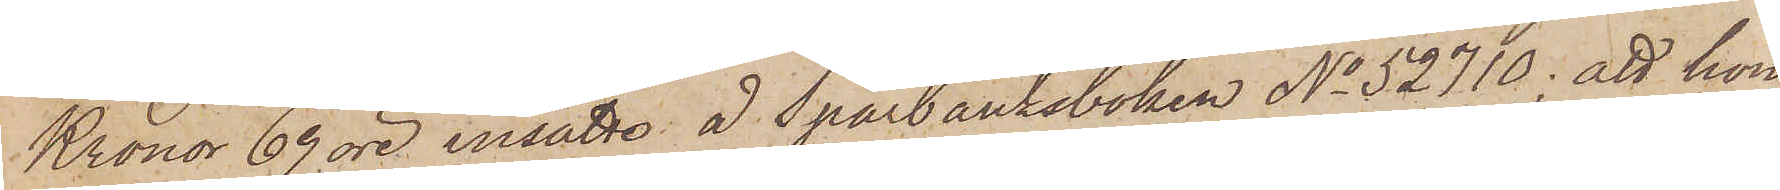Kronor 69 öre insatt å Sparbanksboken No 52710; att hon
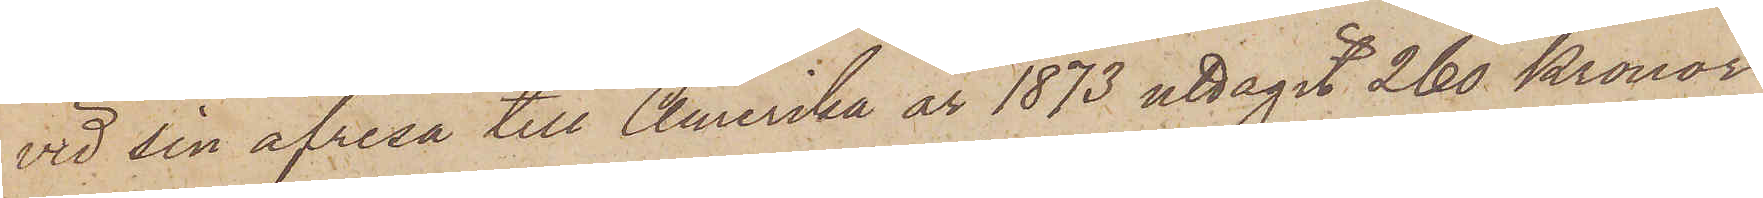vid sin afresa till Amerika år 1873 uttagit 260 kronor
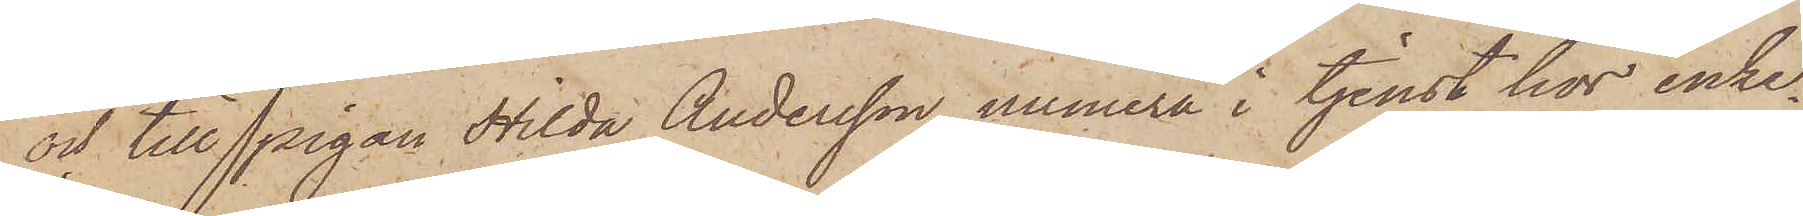och till Pigan Hilda Andersson, numera i tjenst hos enke¬
